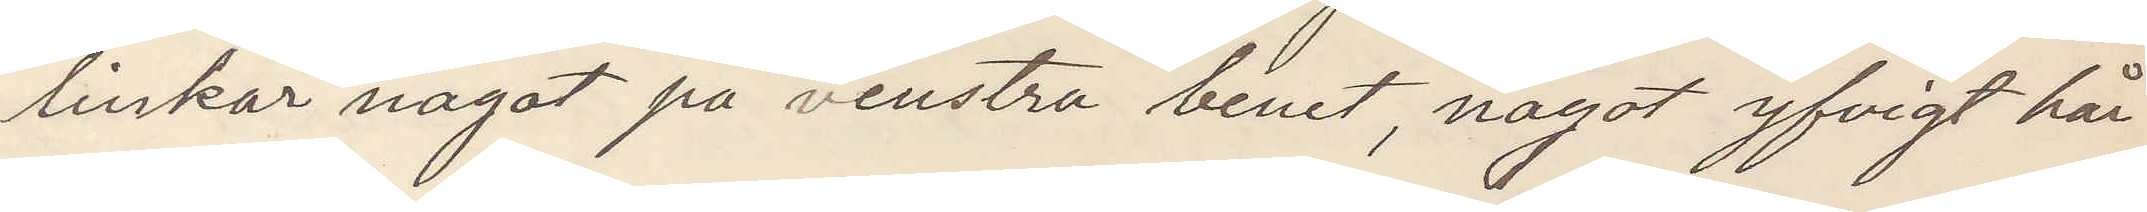linkar något på venstra benet, något yvigt hår
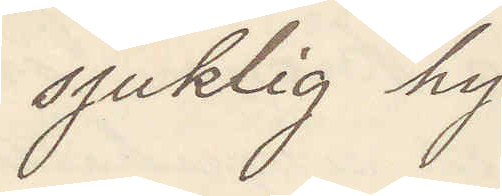sjuklig hy
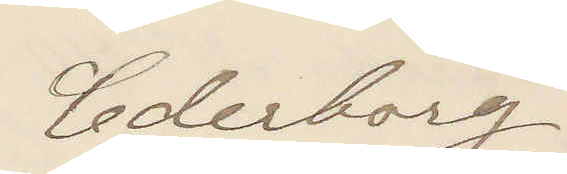Cederborg
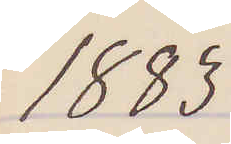1883
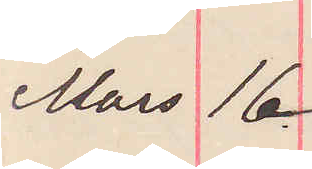Mars 16.
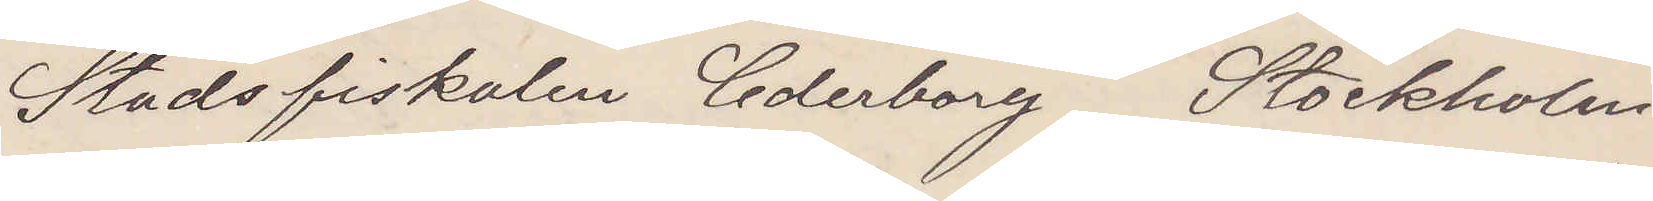Stadsfiskalen Cederborg Stockholm
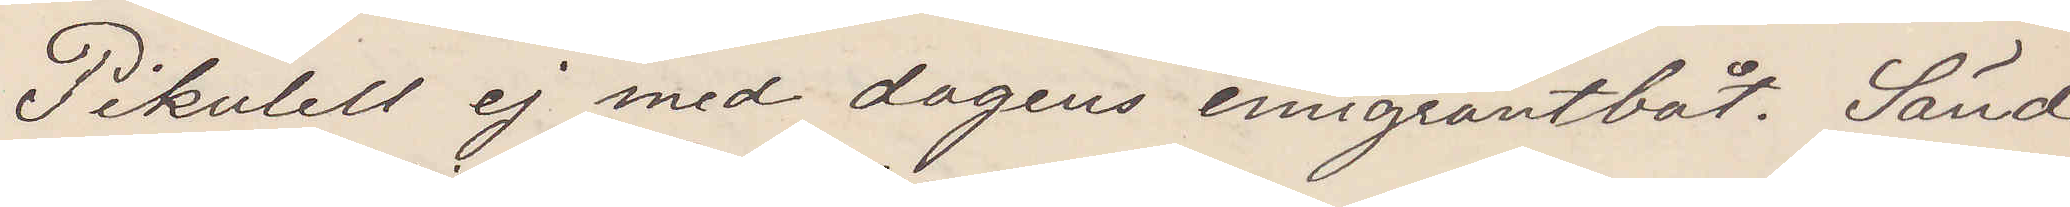Pikulell ej med dagens emigrantbåt. Sänd
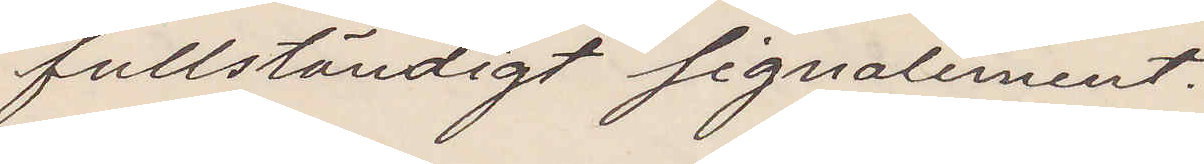fullständigt signalement.
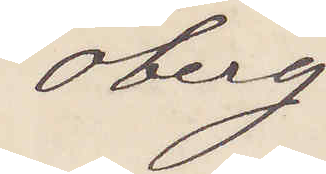Öberg
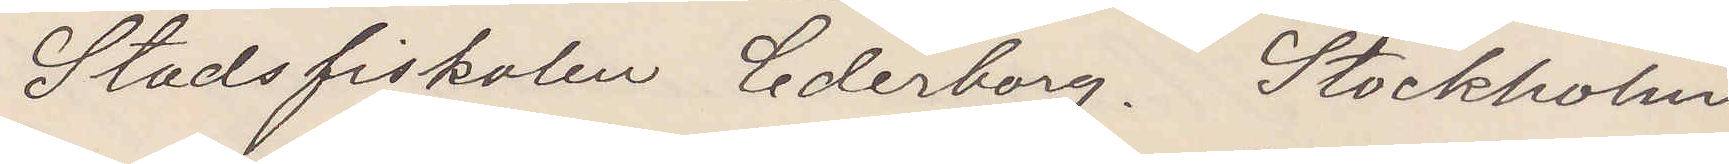Stadsfiskalen Cederborg. Stockholm
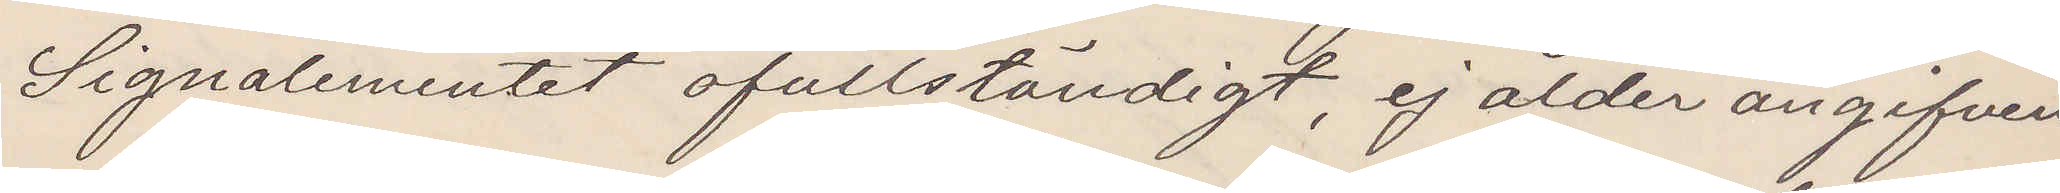Signalementet ofullständigt, ej ålder angifven.
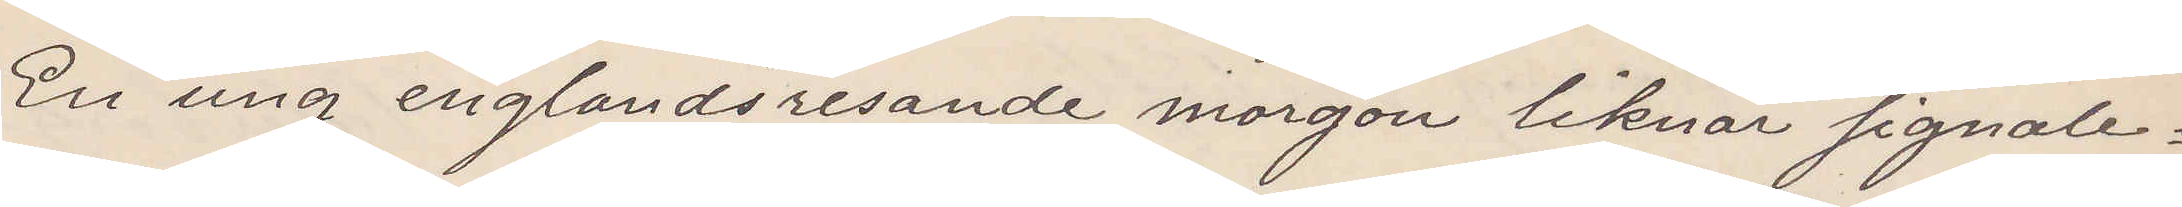En ung englandsresande morgon liknar signale¬
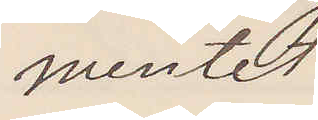mentet
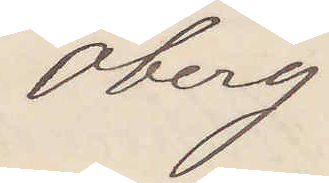Öberg
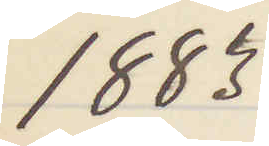1883
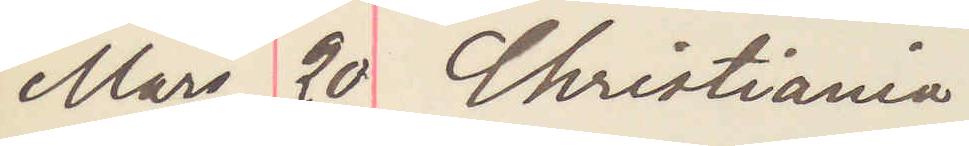Mars 20 Christiania
